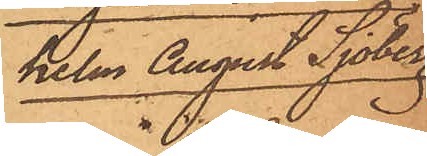helm August Sjöberg.
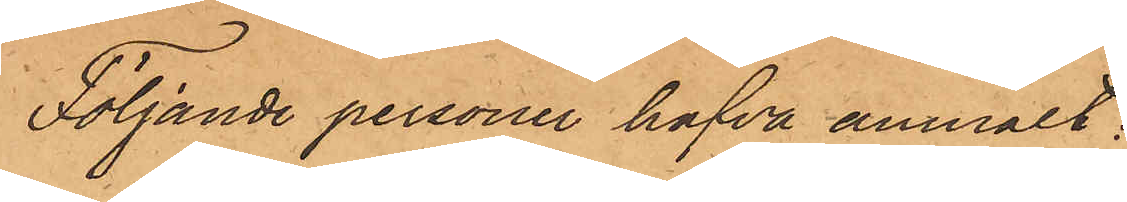Följande personer hafva anmält:
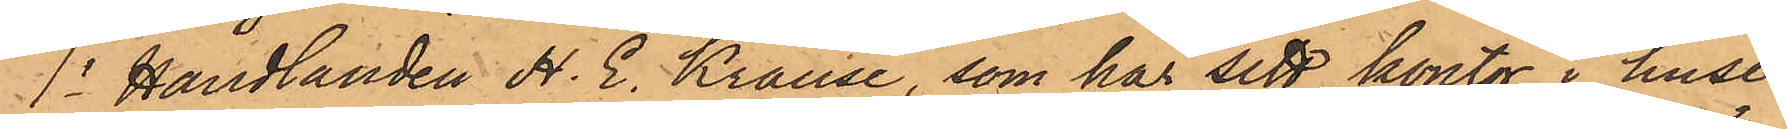1o Handlanden H. E. Krause, som har sitt kontor i huset
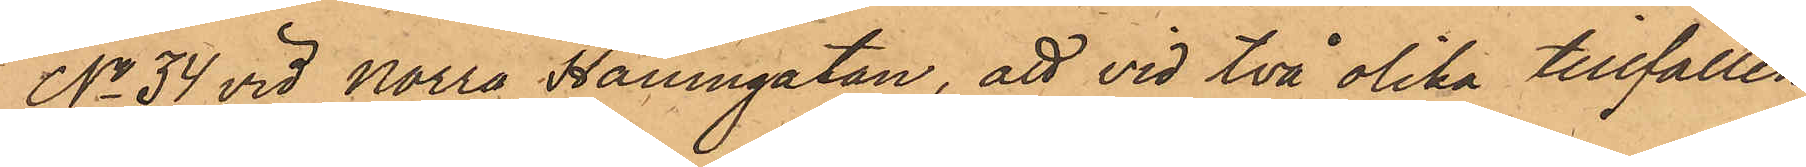No 34 vid Norra Hamngatan, att vid två olika tillfällen
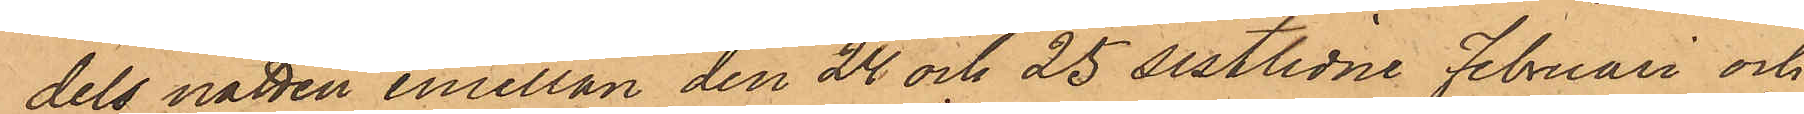dels natten emellan den 24 och 25 sistlidne Februari och
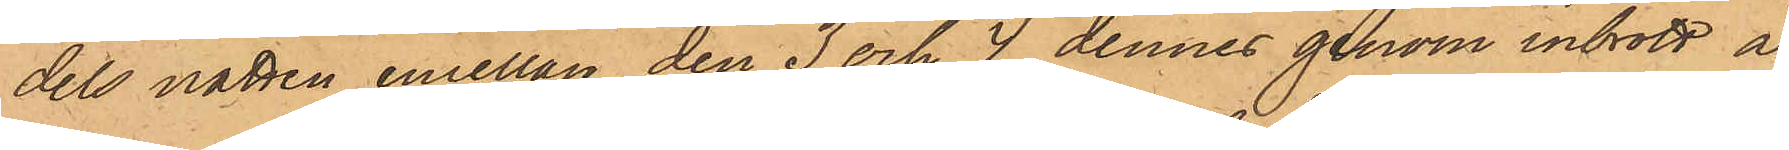dels natten emellan den 3 och 4 dennes genom inbrott å
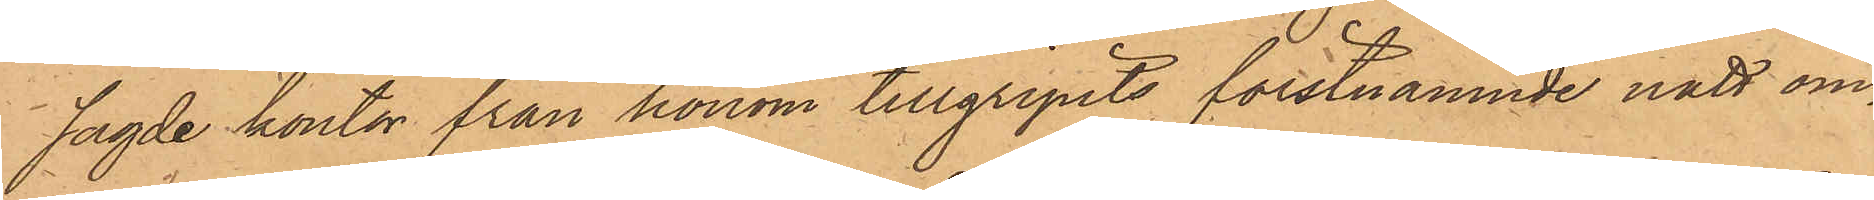sagde kontor från honom tillgripits förstnämnde natt om¬
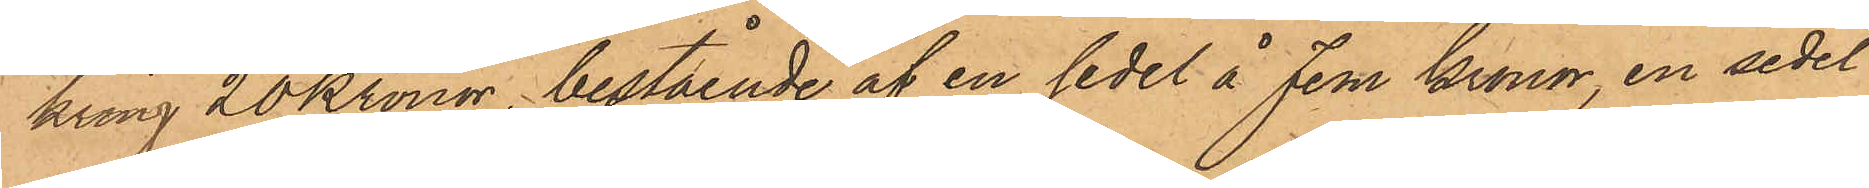kring 20 Kronor, bestående af en sedel å Fem Kronor, en sedel
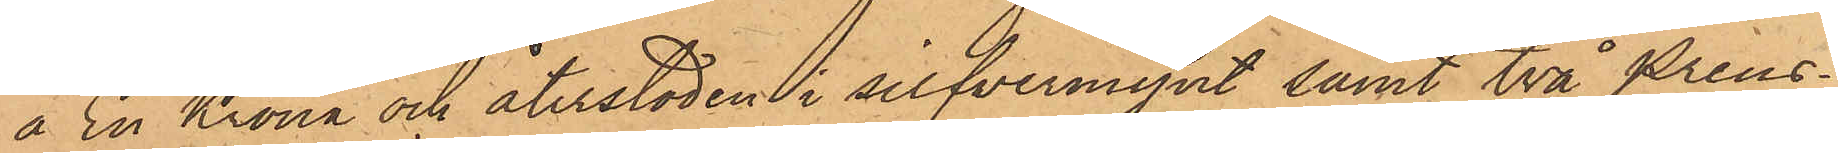å En Krona och återstoden i silfvermynt samt två preus¬
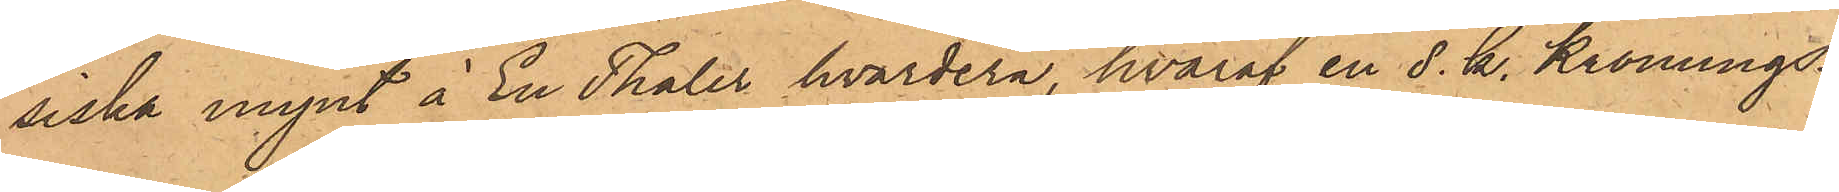siska mynt å en Thaler hvardera, hvaraf en s. k. Krönings¬
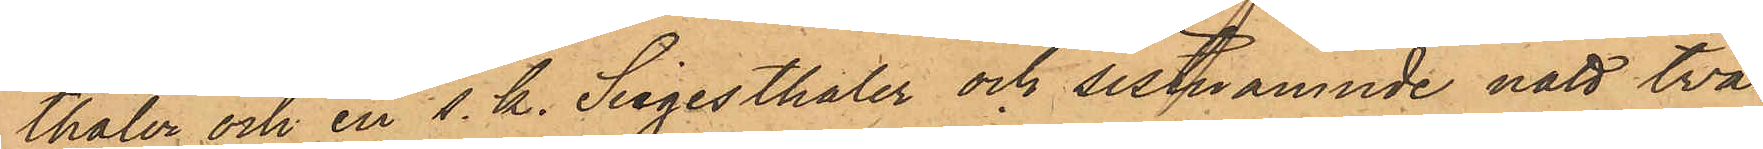thaler och en s. k. Siegesthaler och sistnämnde natt två
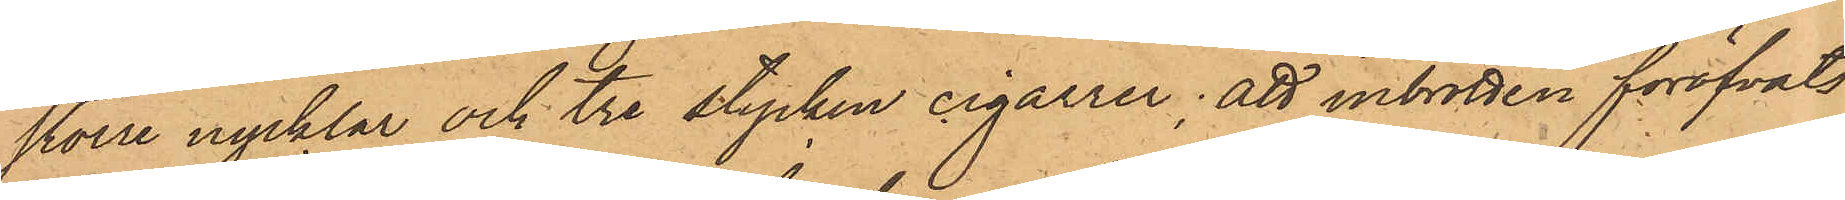större nycklar och tre stycken cigarrer; att inbrotten föröfvats
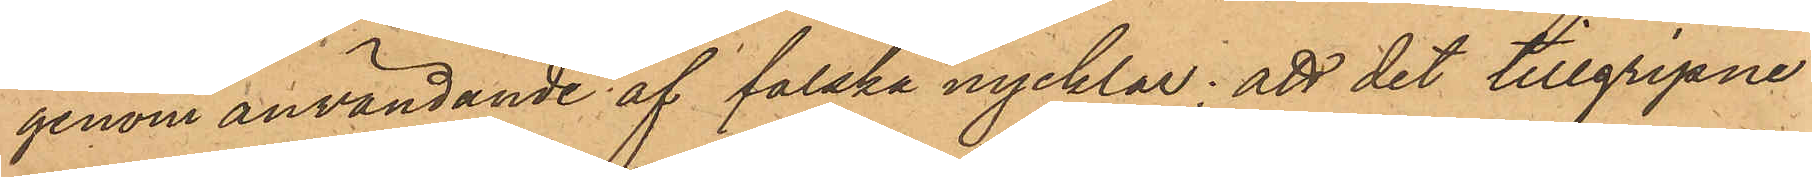genom användande af falska nycklar; att det tillgripne
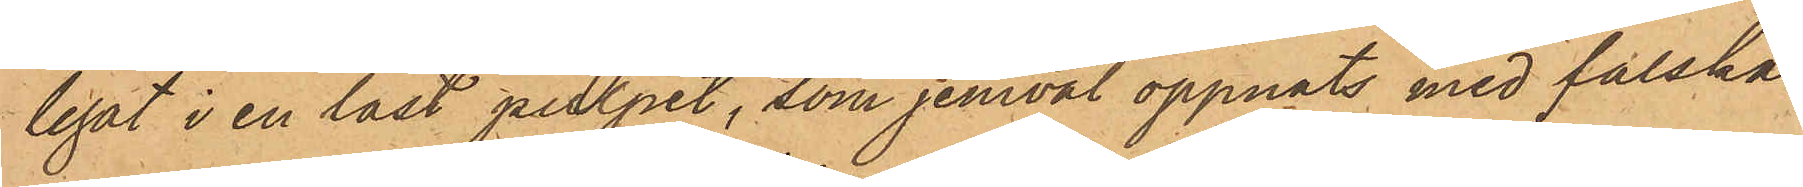legat i en låst pulpet, som jemväl öppnats med falska
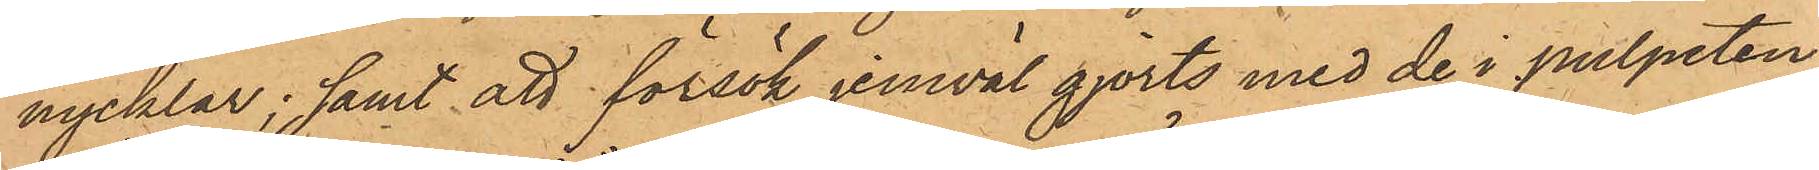nycklar; samt att försök jemväl gjorts med de i pulpeten
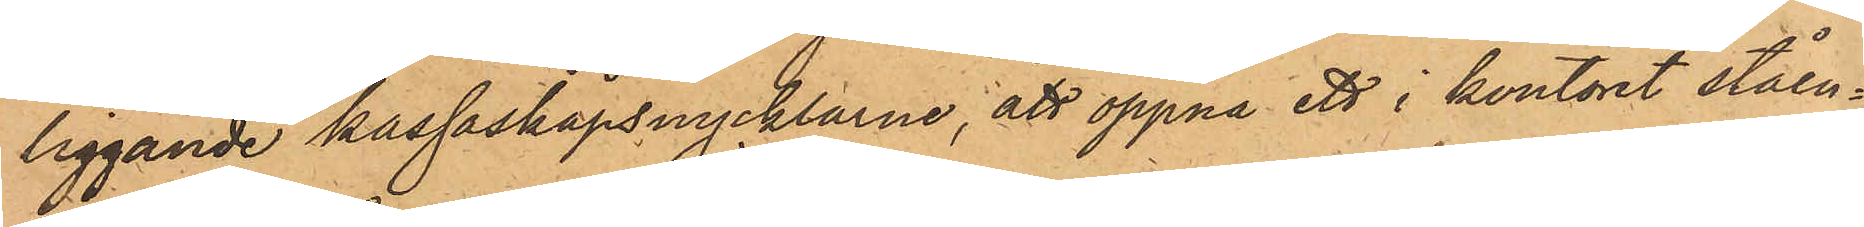liggande kassaskåpsnycklarne; att öppna ett i kontoret ståen¬
